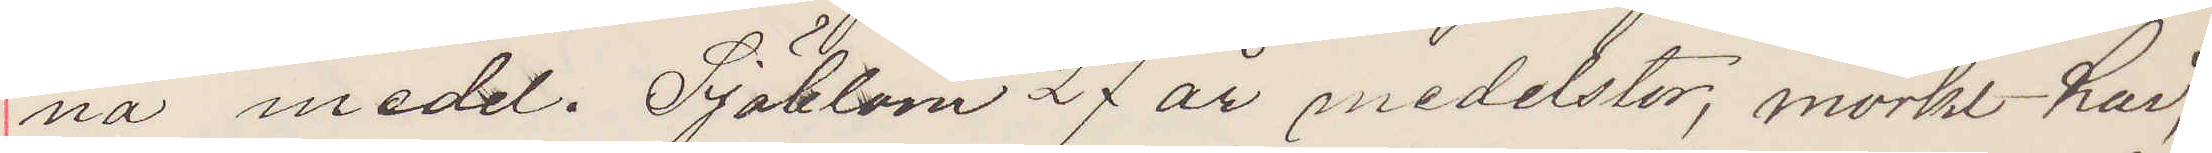na medel. Sjöblom 27 år medelstor, mörkt hår,
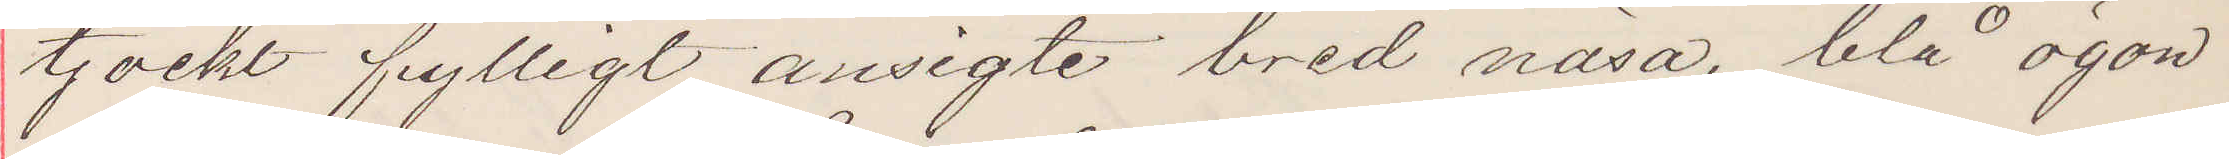tjockt fylligt ansigte bred näsa, blå ögon
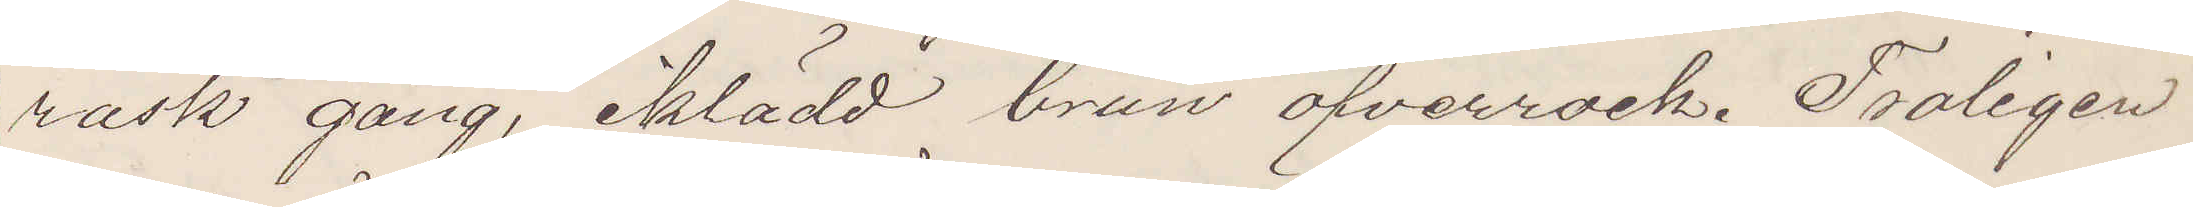rask gång, iklädd brun öfverrock. Troligen
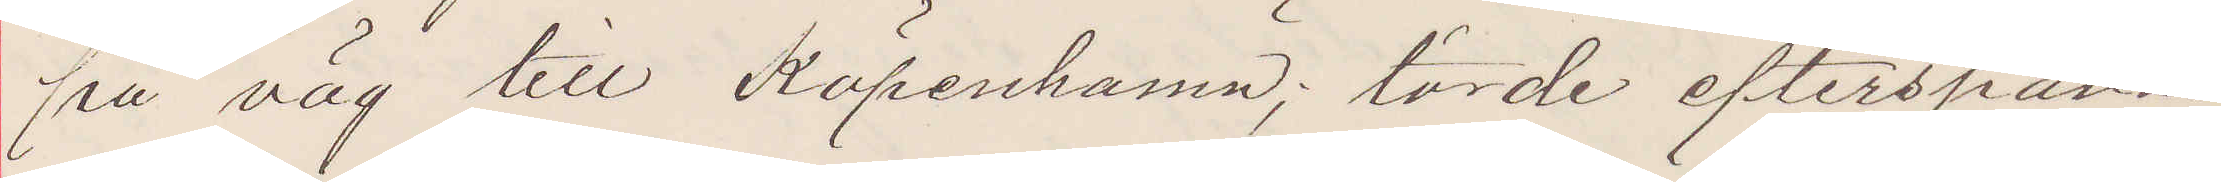på väg till Köpenhamn; torde efterspanas
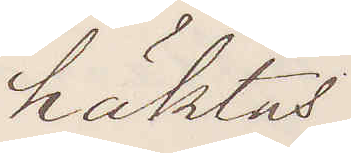häktas.
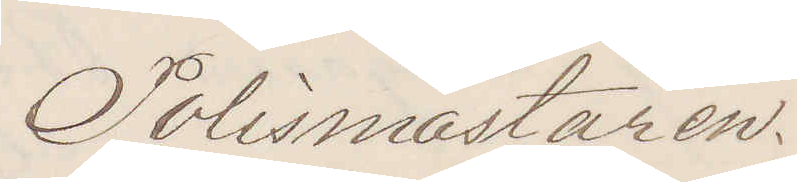Polismästaren.
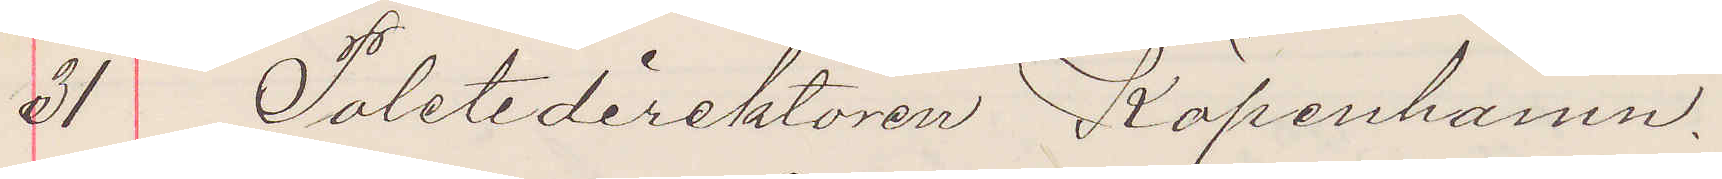21 Poletidirektören Köpenhamn.
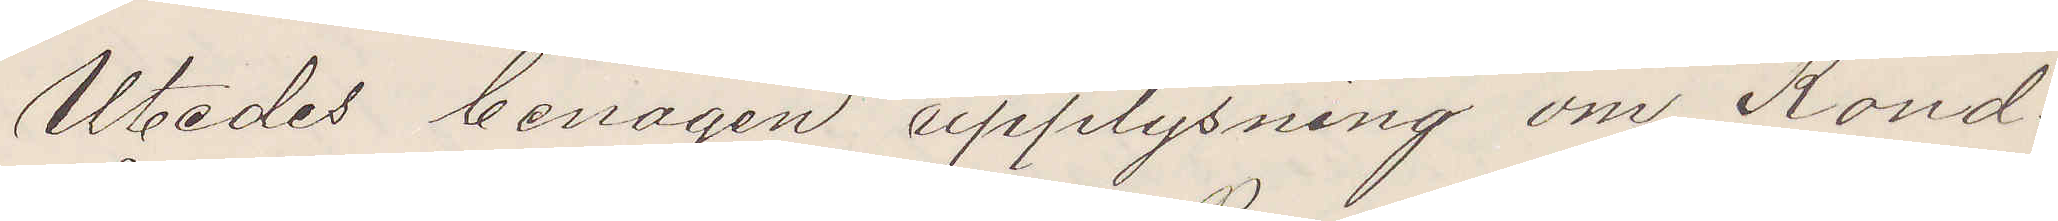Utbedes benägen upplysning om Kond
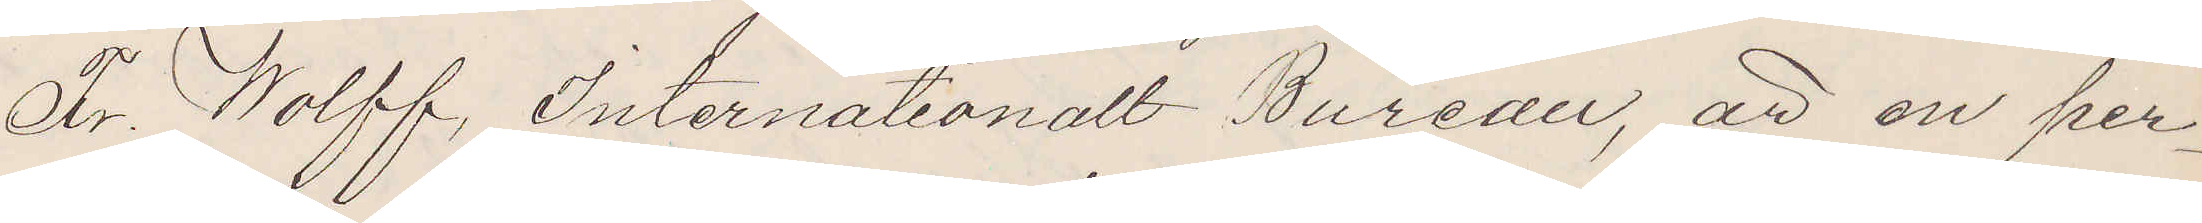Fr. Wolff, Internationalt Bureau, att en per¬
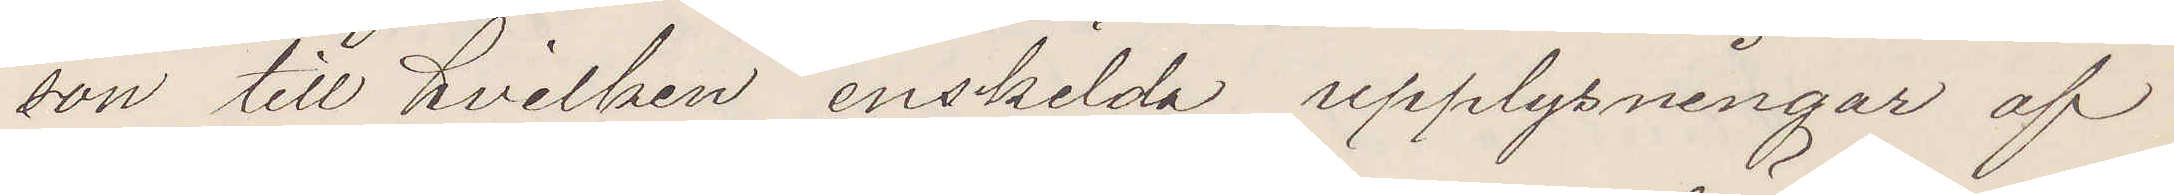son till hvilken enskilda upplysningar af
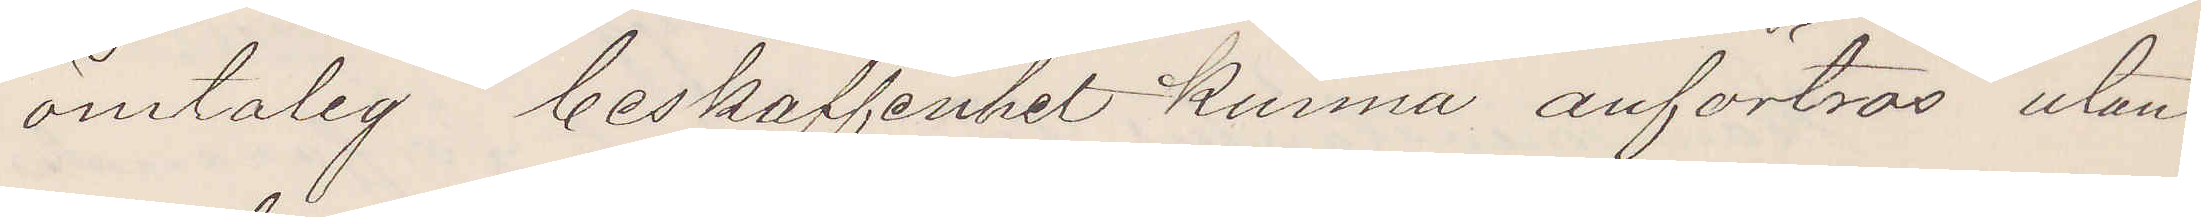ömtålig beskaffenhet kunna anfortros utan
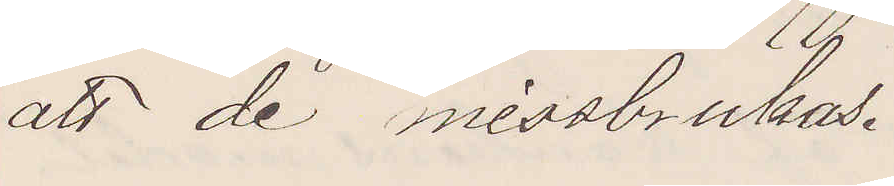att de missbrukas.
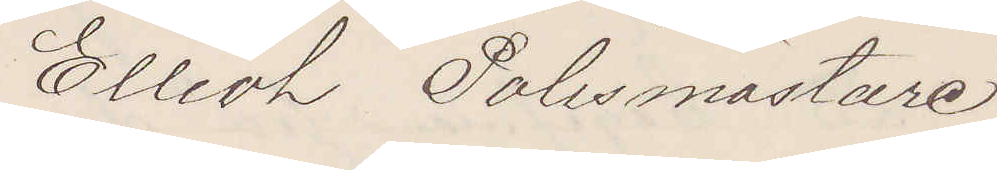Elliot Polismästare
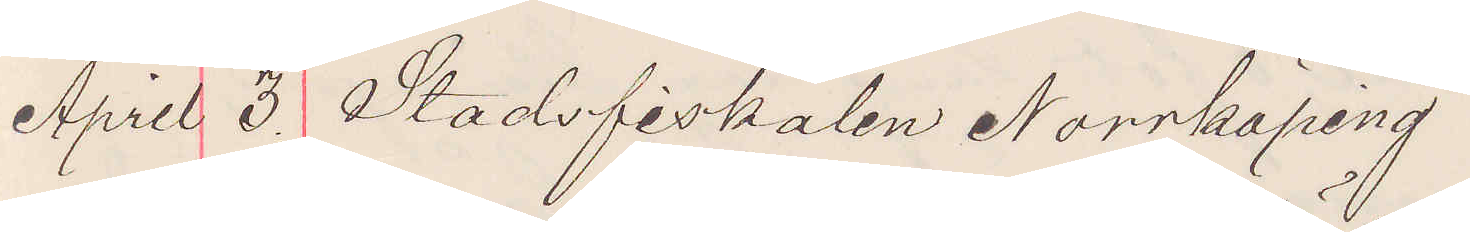April 3 Stadsfiskalen Norrköping
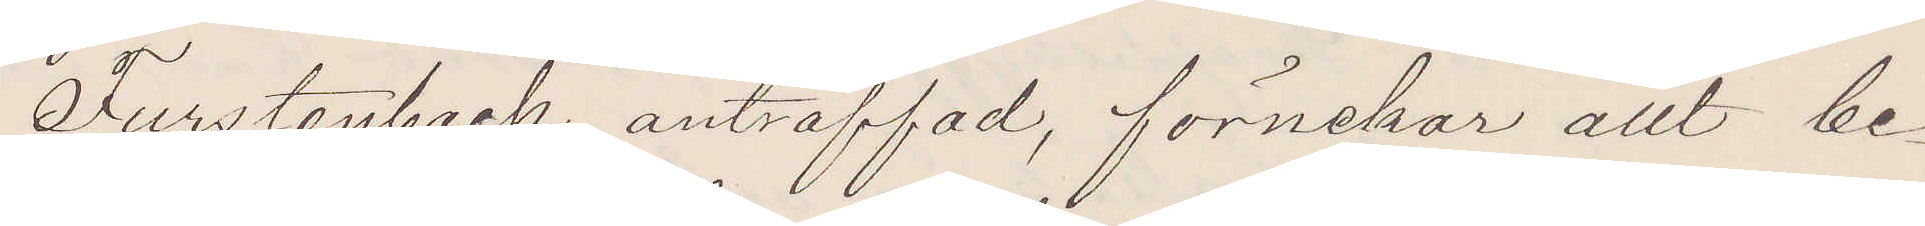Furstenbach anträffad, förnekar allt be¬
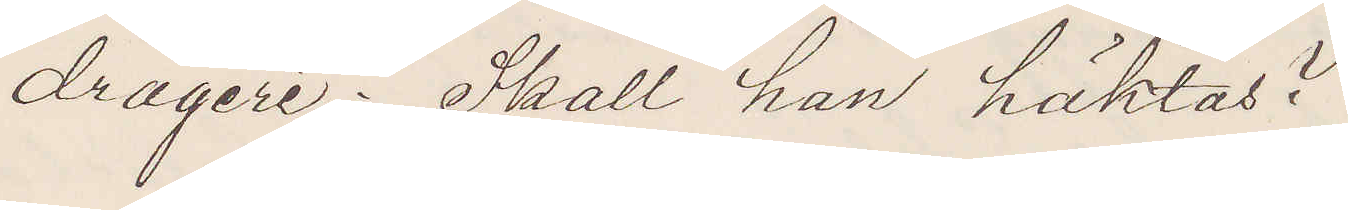drägeri; Skall han häktas?
